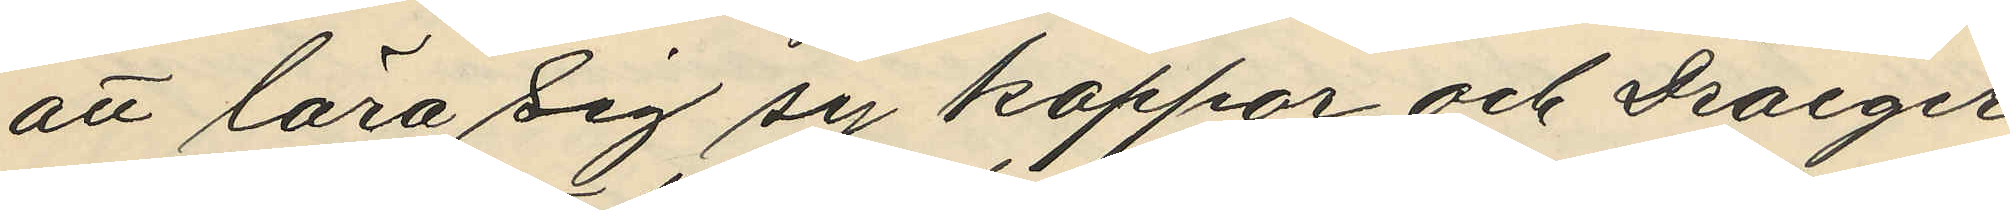att lära sig sy kappor och Draeger
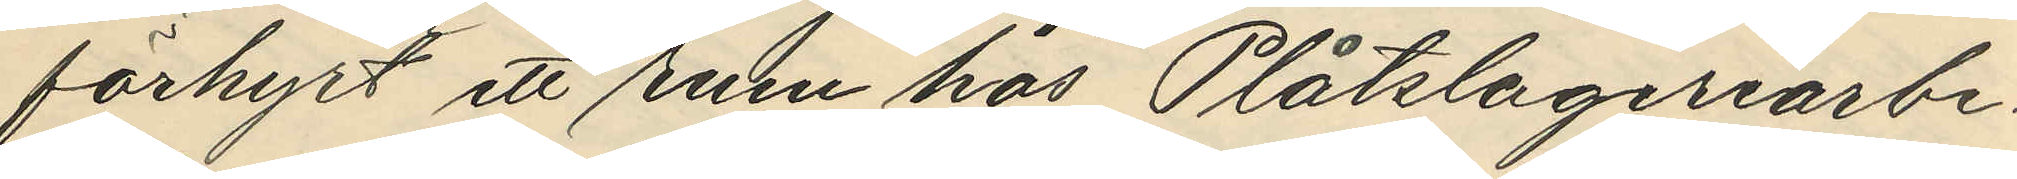förhyrt ett rum hos Plåtslageriarbe¬
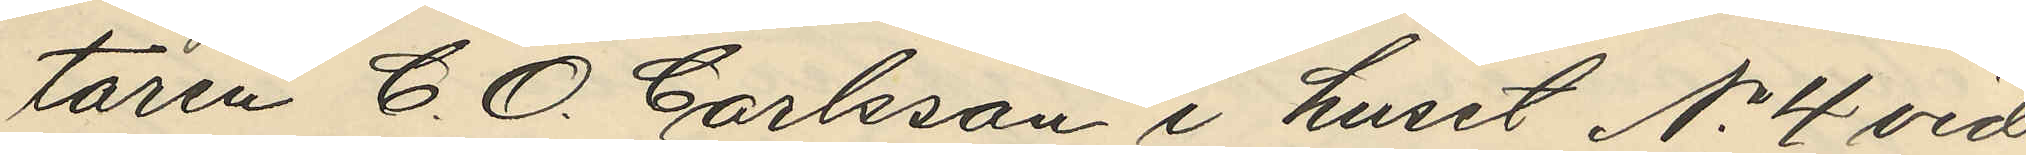taren C. O. Carlsson i huset No 4 vid
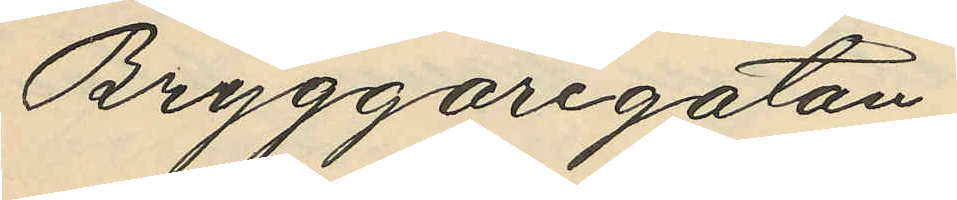Bryggaregatan;
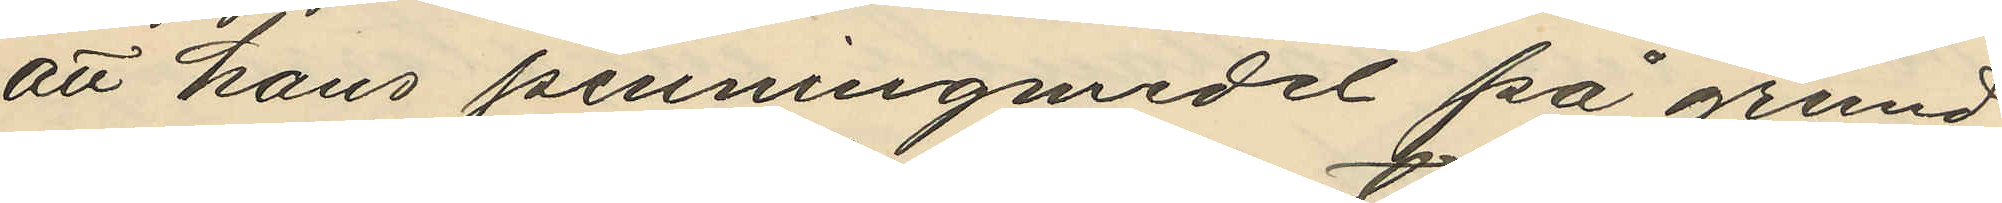att hans penningmedel på grund
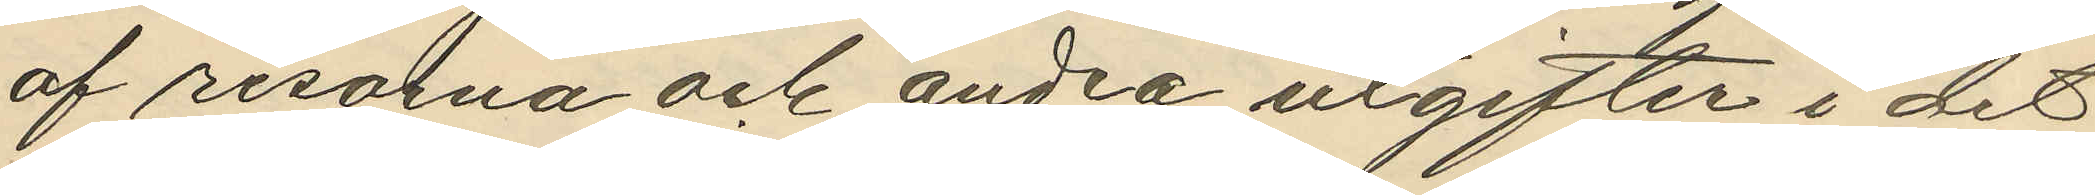af resorna och andra utgifter i det
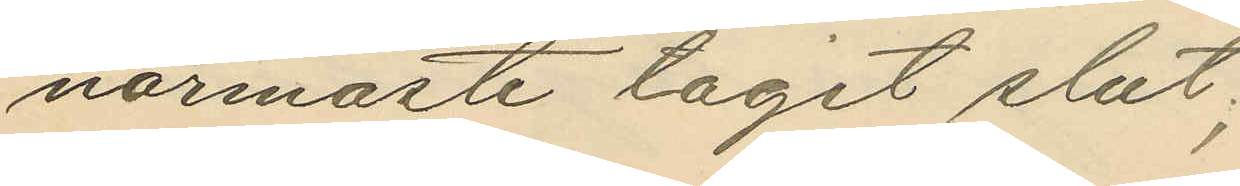närmaste tagit slut;
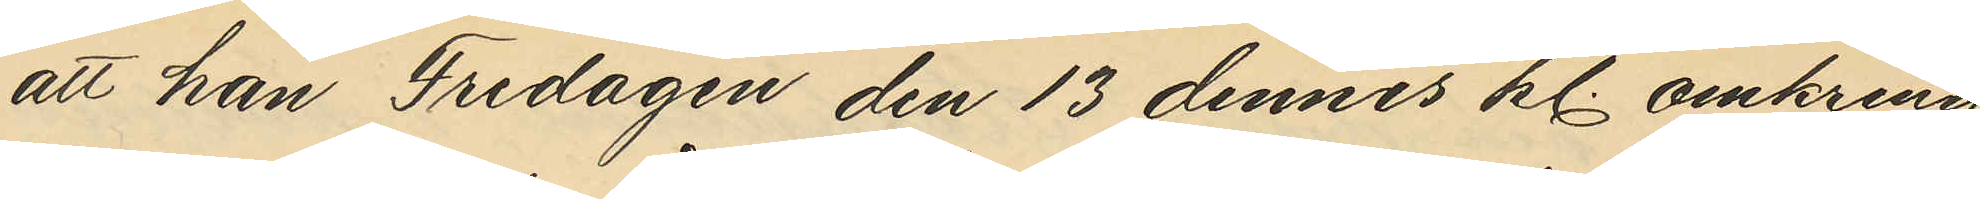att han Fredagen den 13 dennes kl. omkring
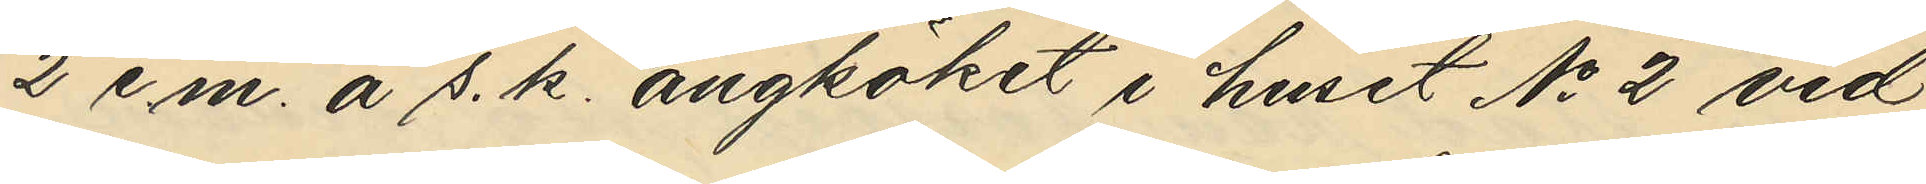2 e.m. å s. k. ångköket i huset No 2 vid
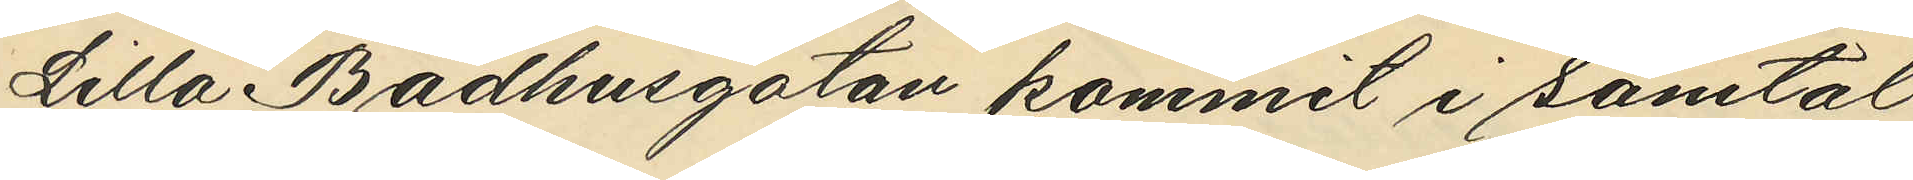Lilla Badhusgatan kommit i samtal
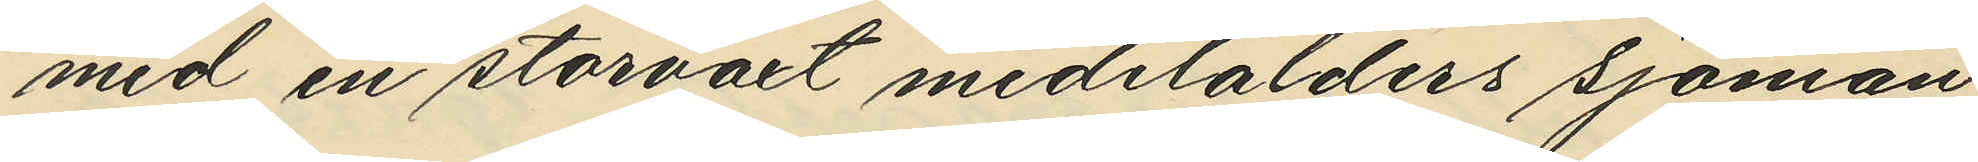med en storvaxt medelålders sjöman
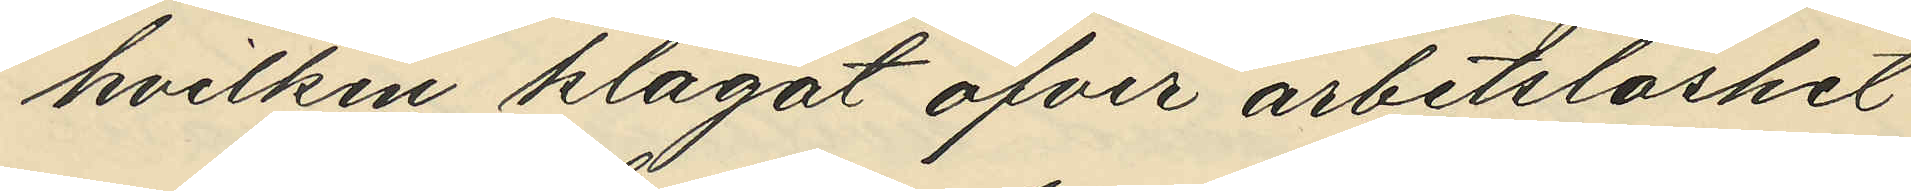hvilken klagat öfver arbetslöshet
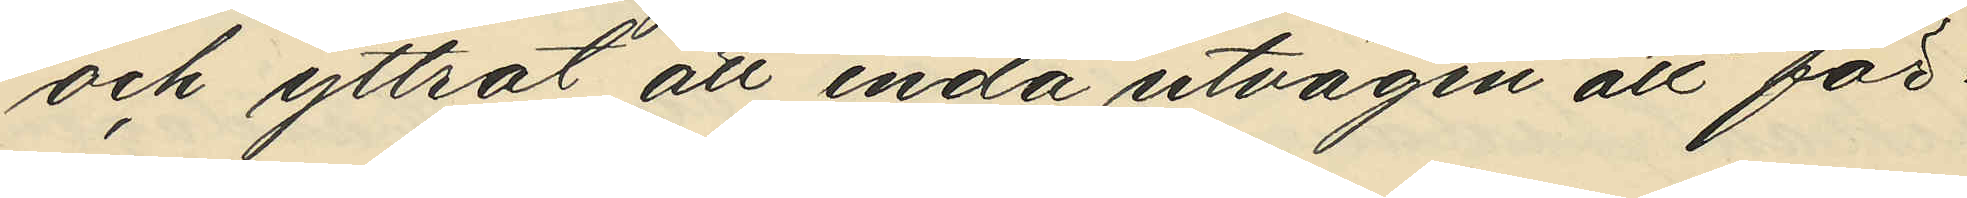och yttrat att enda utvägen att för¬
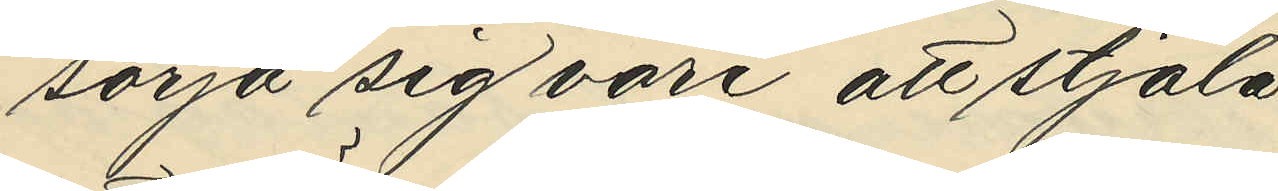sörja sig vore att stjäla,
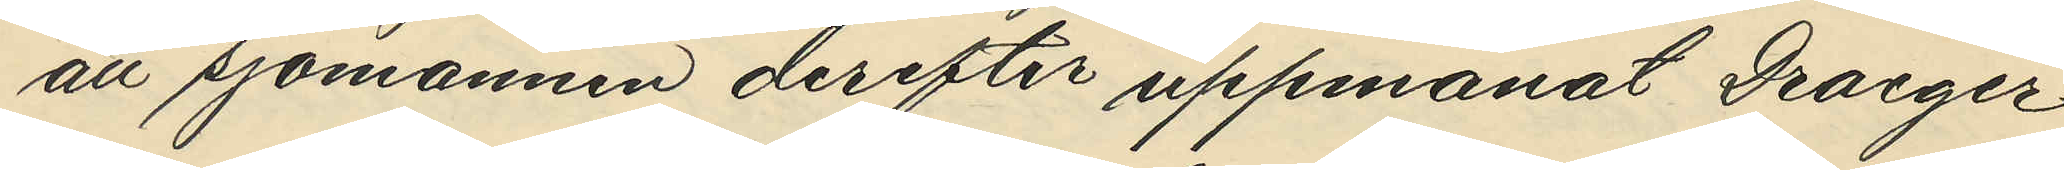att sjömannen derefter uppmanat Draeger
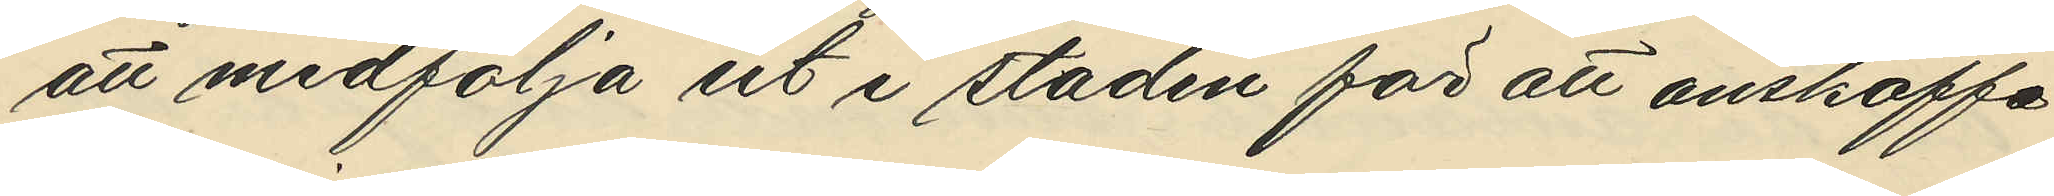att medfölja ut i staden för att anskaffa
